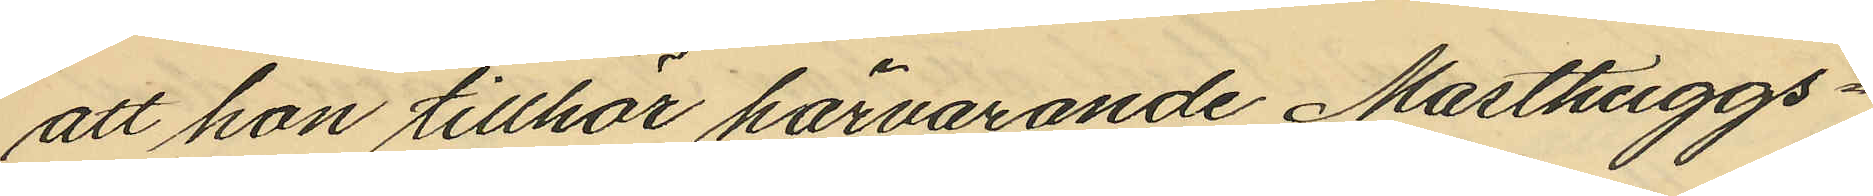att hon tillhör härvarande Masthuggs¬
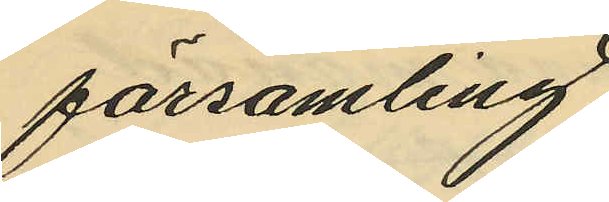församling.
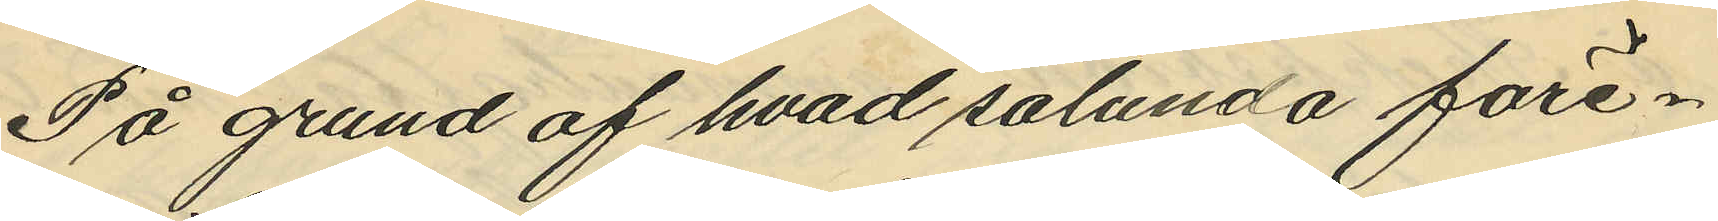På grund af hvad sålunda före¬
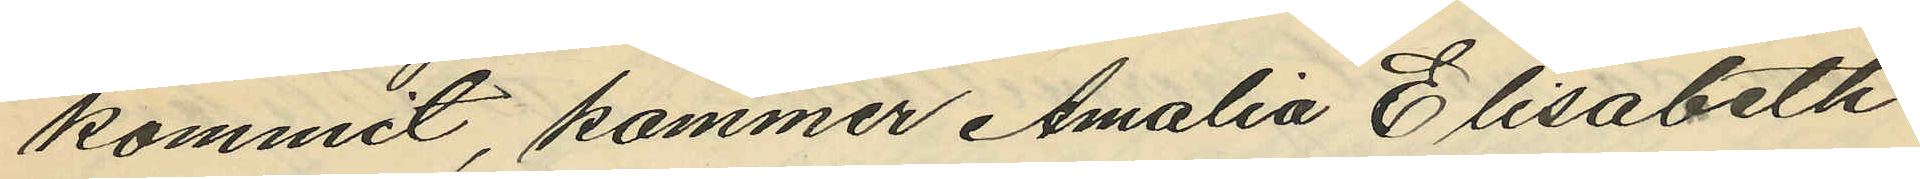kommit, kommer Amalia Elisabeth
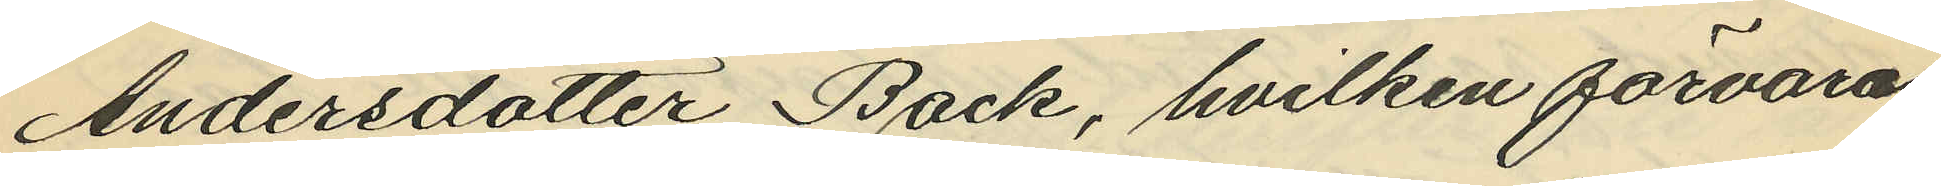Andersdotter Back, hvilken förvaras
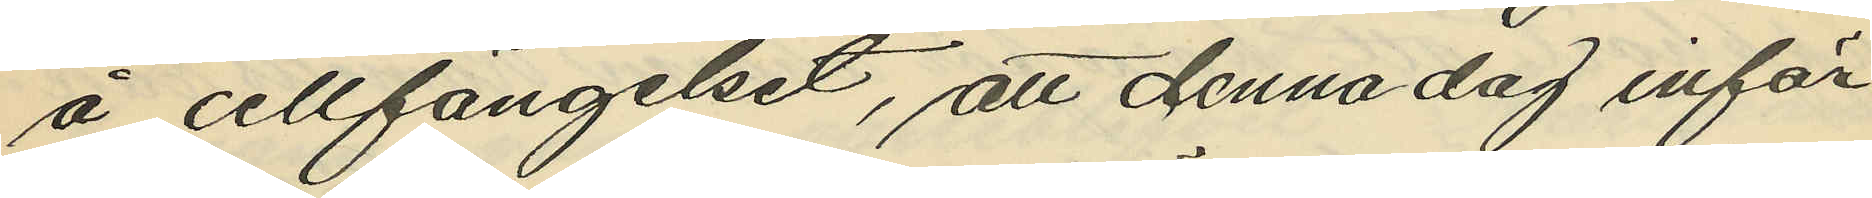å cellfängelset, att denna dag inför¬
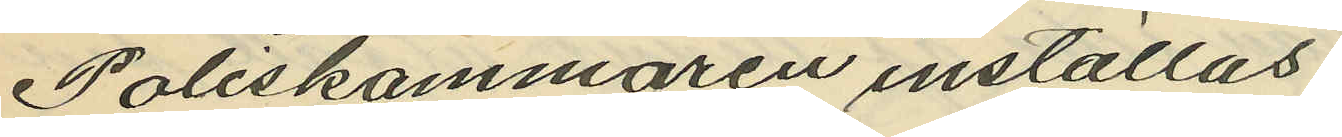Poliskammaren inställas.
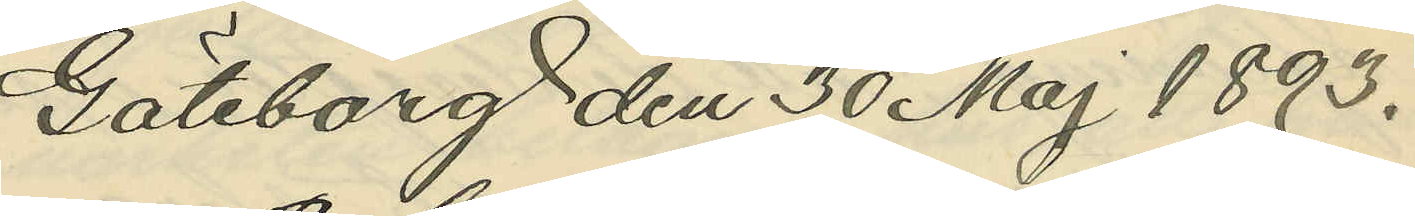Göteborg den 30 Maj 1893.
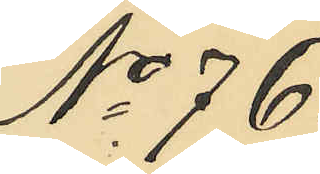No 76.
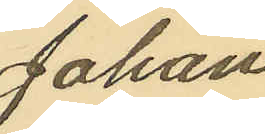Johan
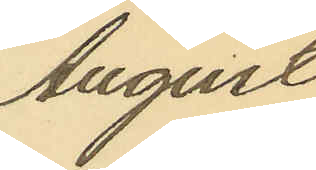August
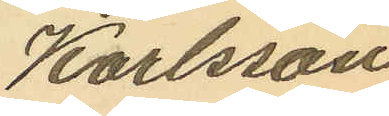Karlsson
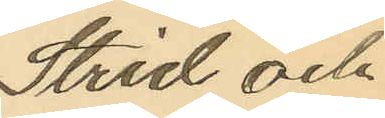Strid och
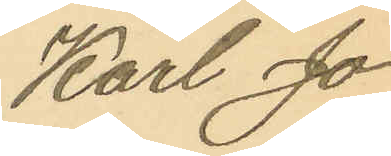Karl Jo¬
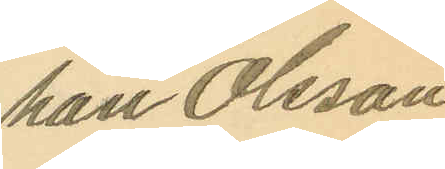han Olsson
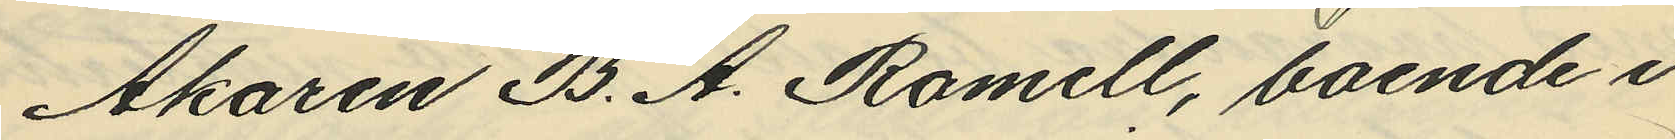Åkaren B. A. Romell, boende i
